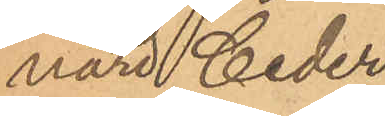nard Ceder
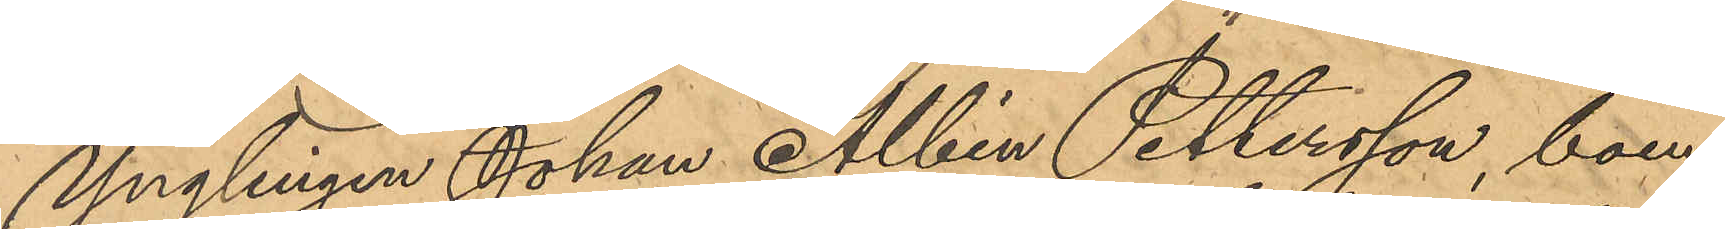Ynglingen Johan Albin Pettersson, boen¬
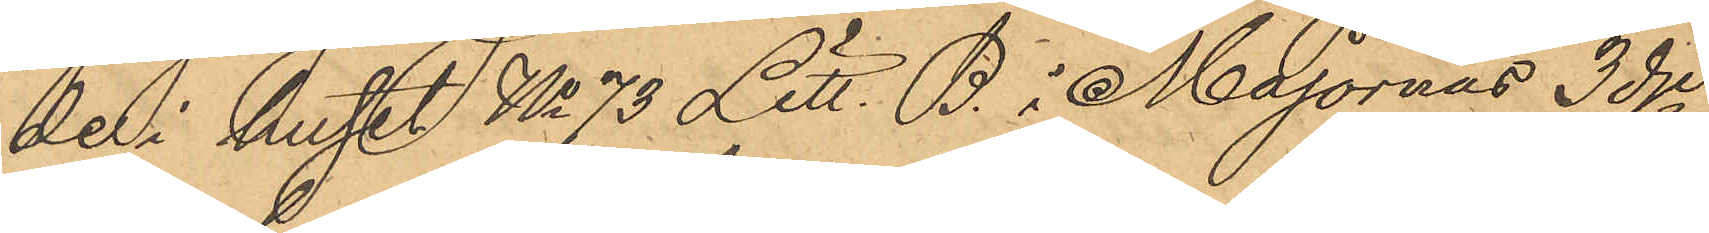de i huset No 73 Litt. B. i Majornas 3 dje
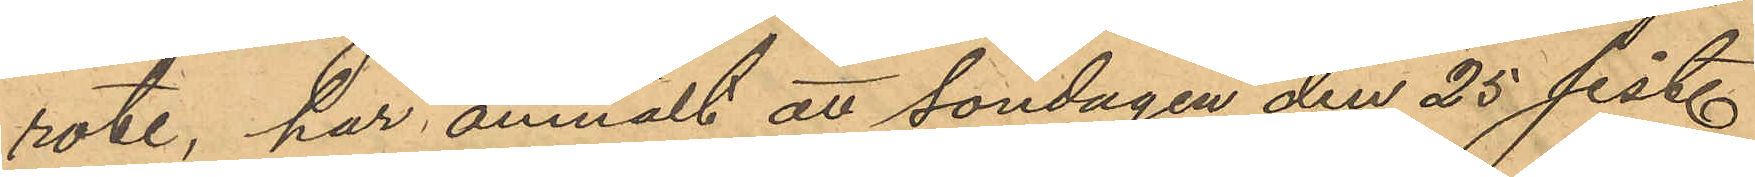rote, har anmält att Söndagen den 25 sist.
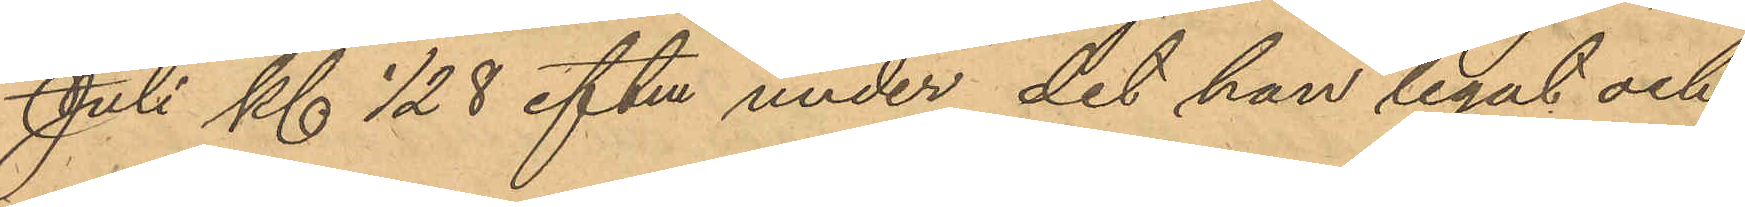Juli Kl ½ 8 eftm under det han legat och
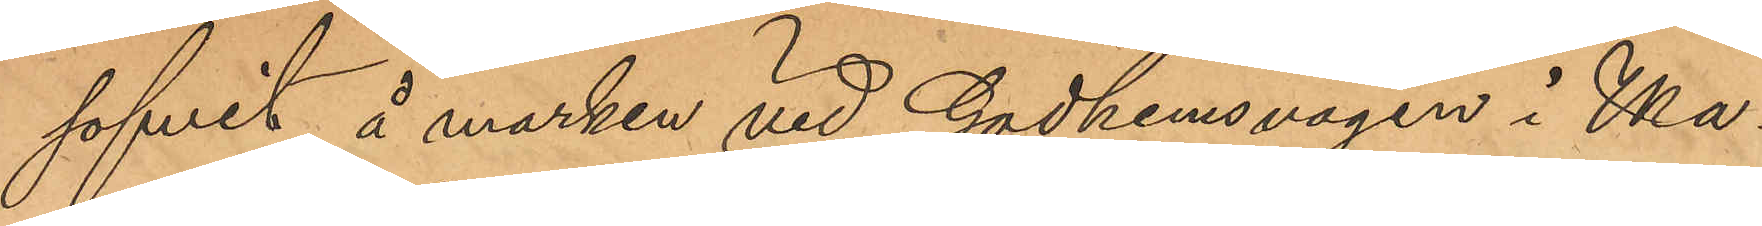sofvit å marken vid Godhemsvägen i Ma¬
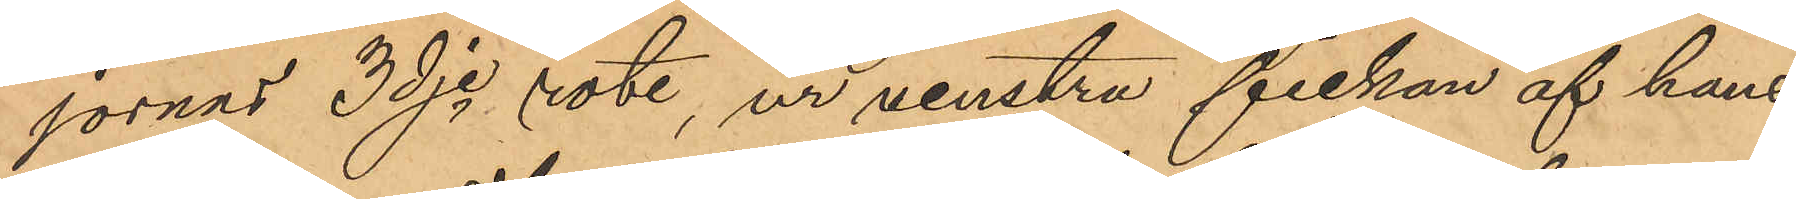jornas 3dje rote, ur venstra fickan af hans
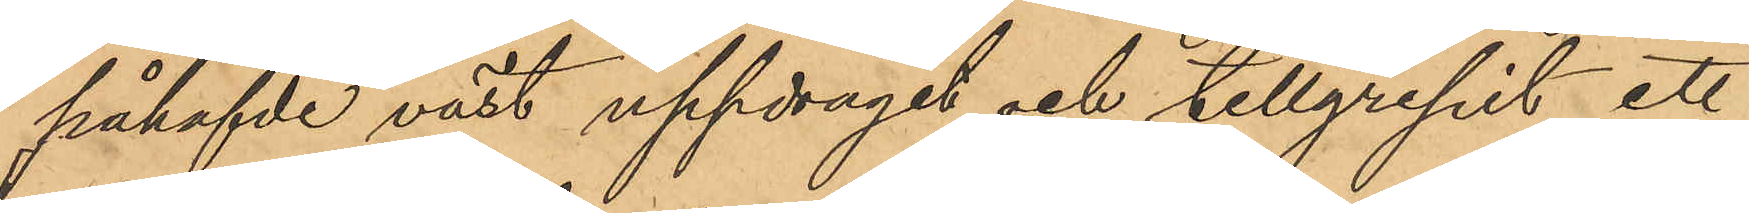påhafvde väst uppdragit och tillgripit ett
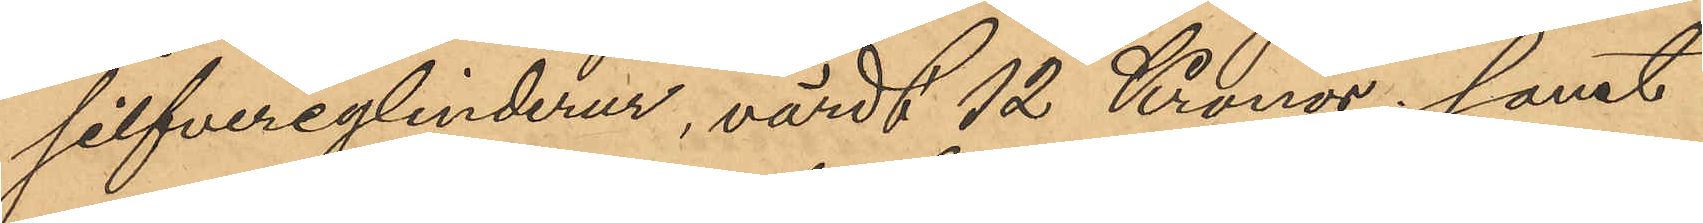silfvercylinderur, värdt 12 Kronor; samt
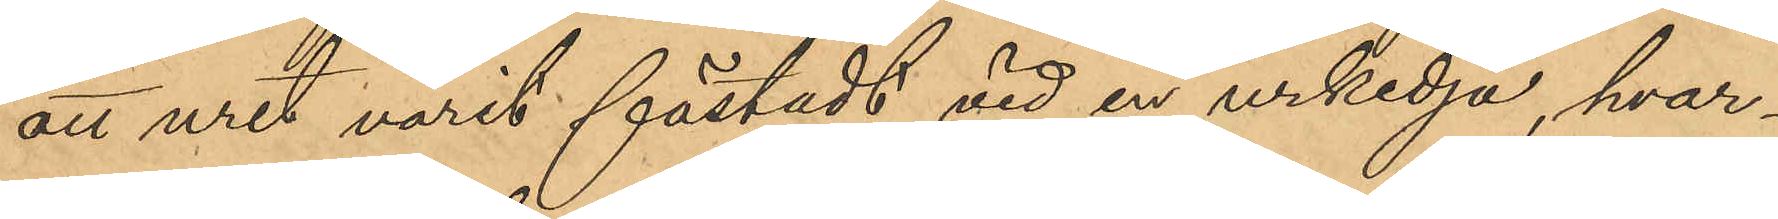att uret varit fästadt vid en urkedja, hvar¬
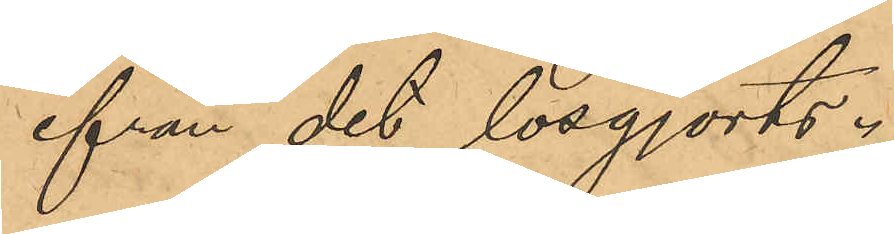ifrån det lösgjorts.
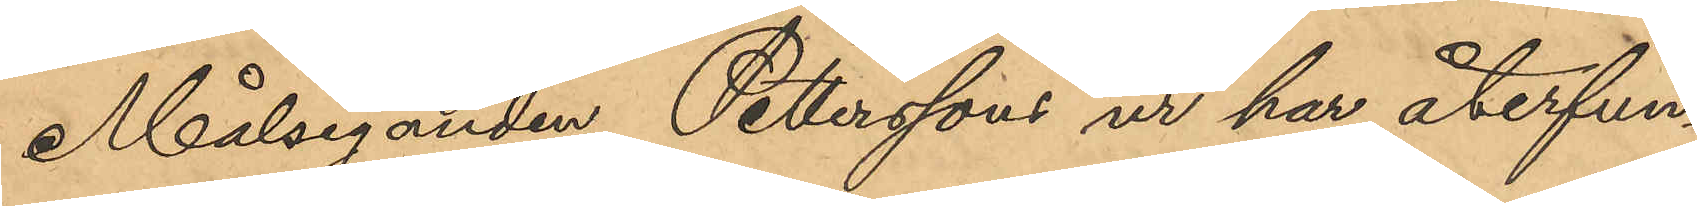Målseganden Petterssons ur har återfun¬
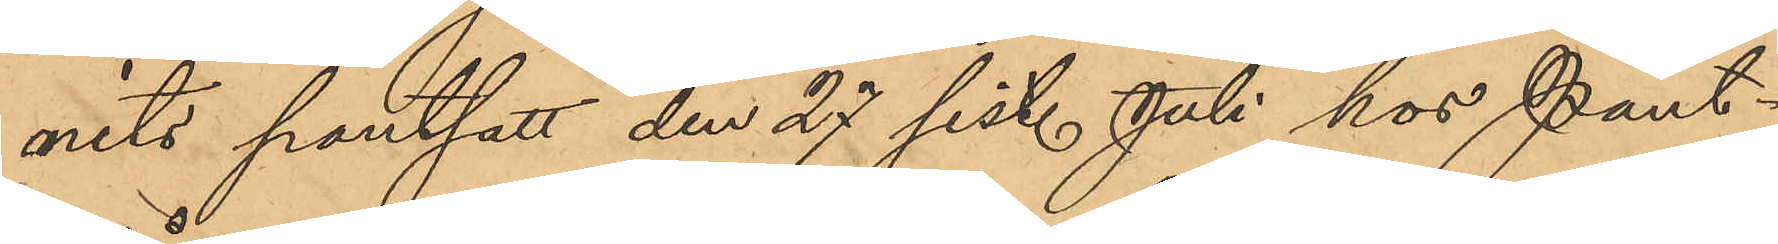nits pantsatt den 27 sist. Juli hos Pant¬
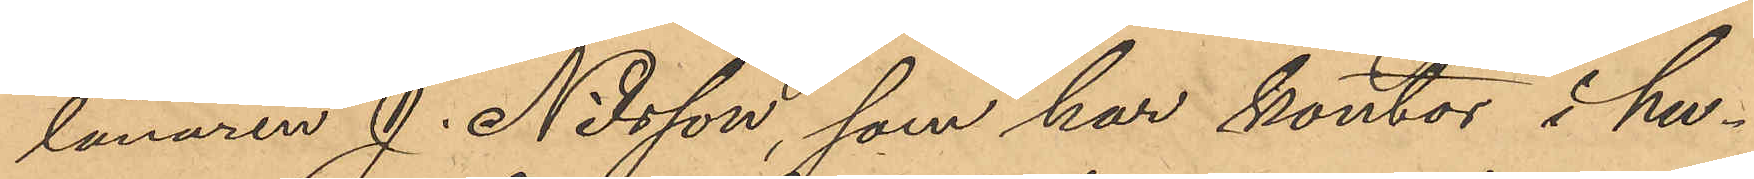lånaren J. Nilsson, som har kontor i hu¬
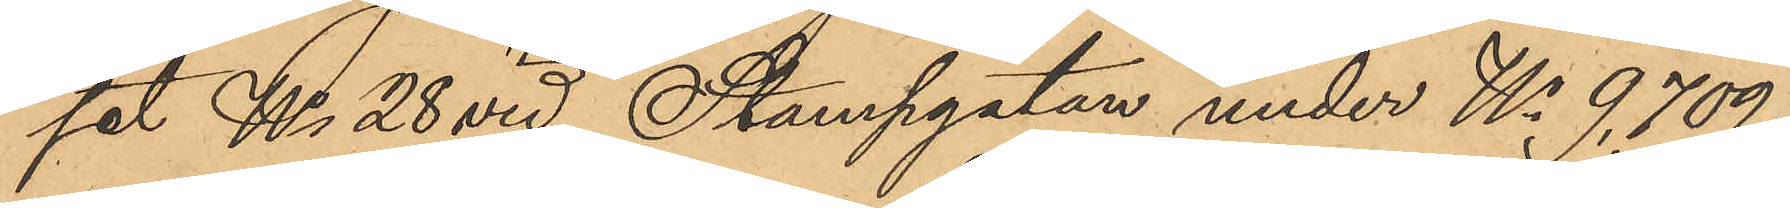set No 28 vid Stampgatan under No 9709
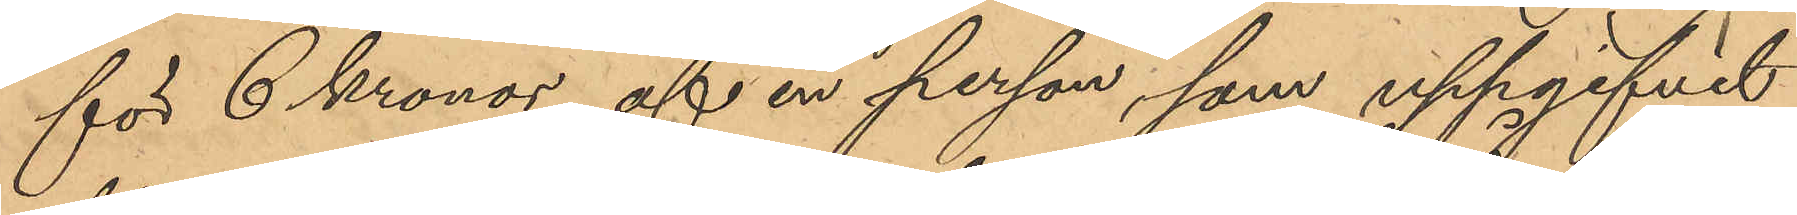för 6 Kronor, af en person, som uppgifvit
